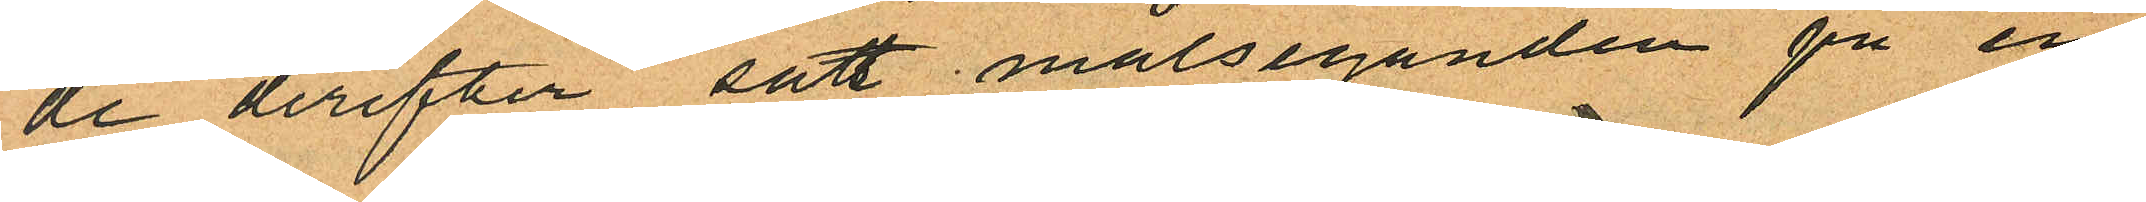de derefter satt målseganden på en
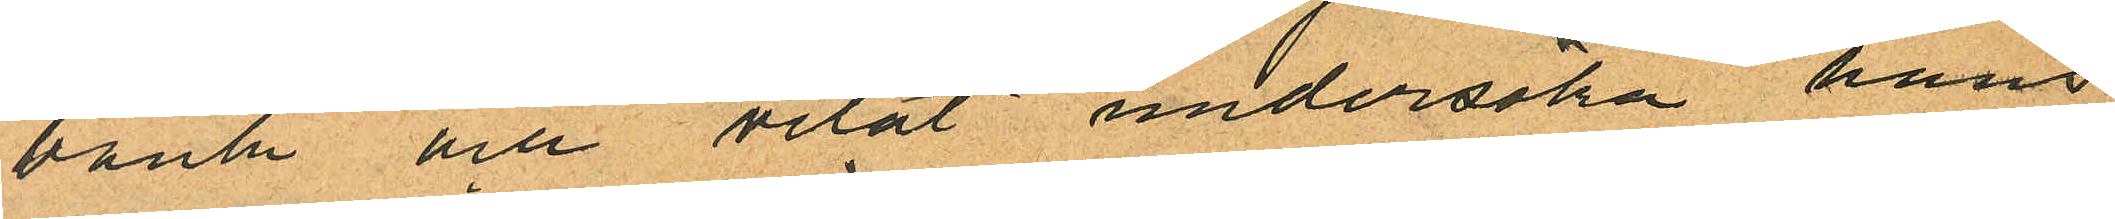bänk och velat undersöka hans
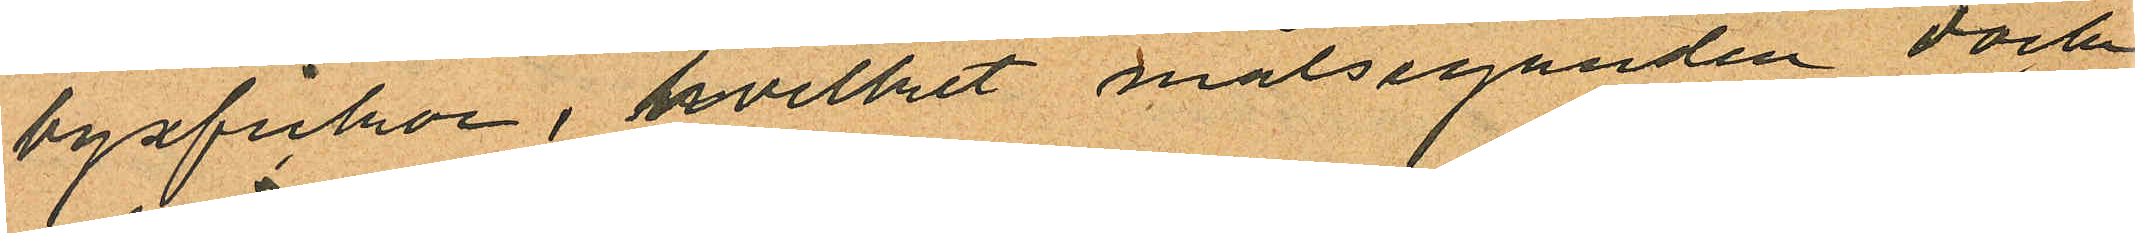byxfickor, hvilket målseganden dock
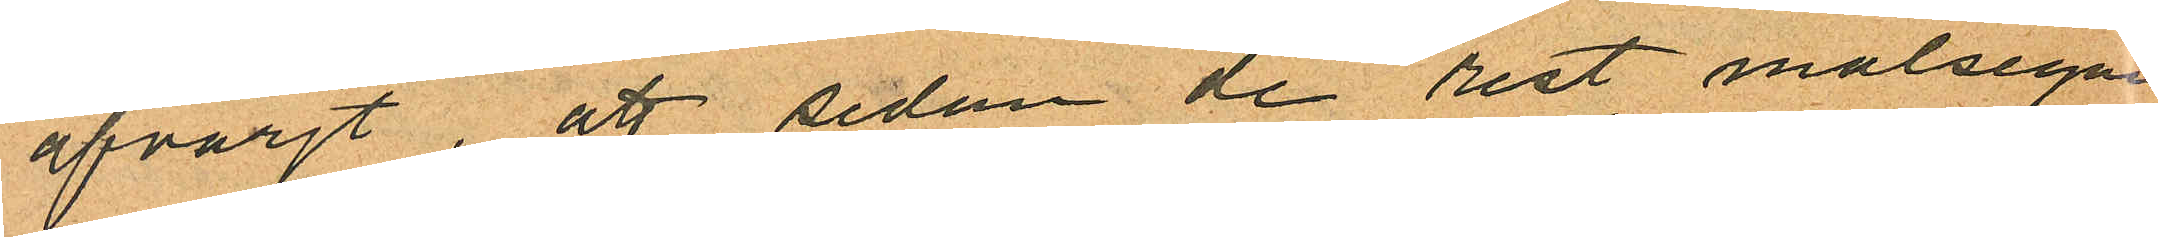afvärjt, att sedan de rest målsegan¬
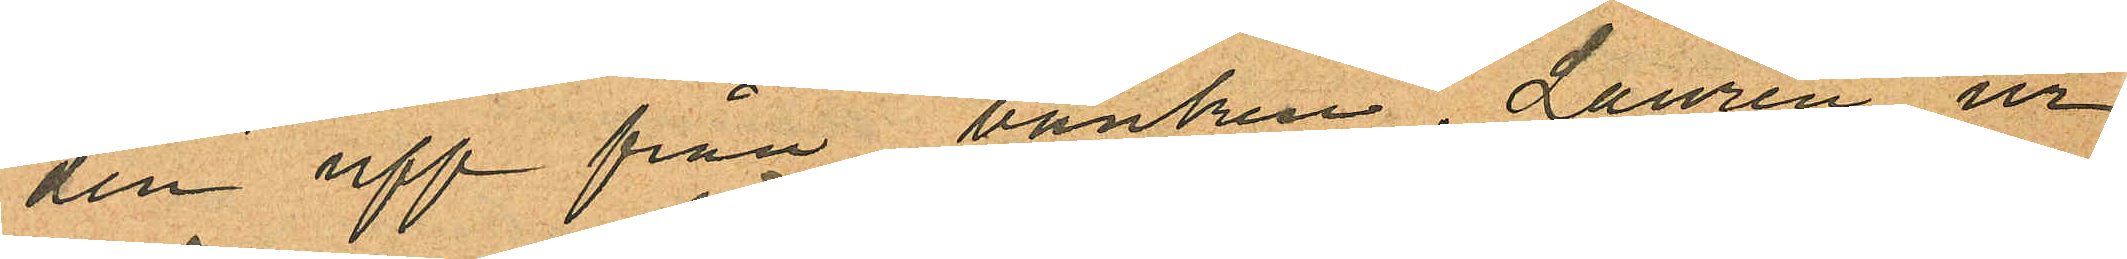den upp från bänken, Laurén ur
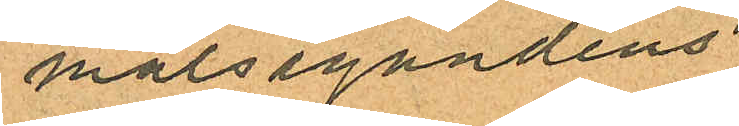målsegandens
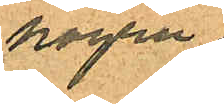högra
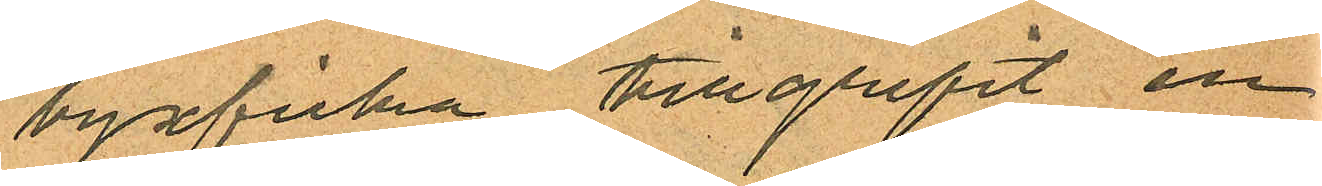byxficka tillgripit en
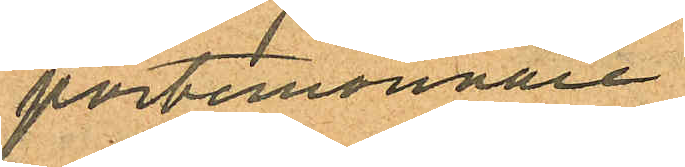portemonnaie
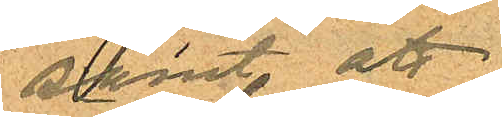samt att
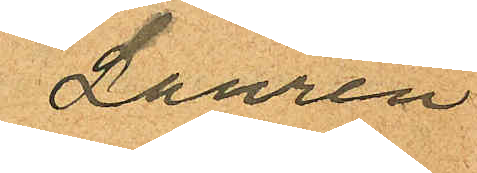Laurén
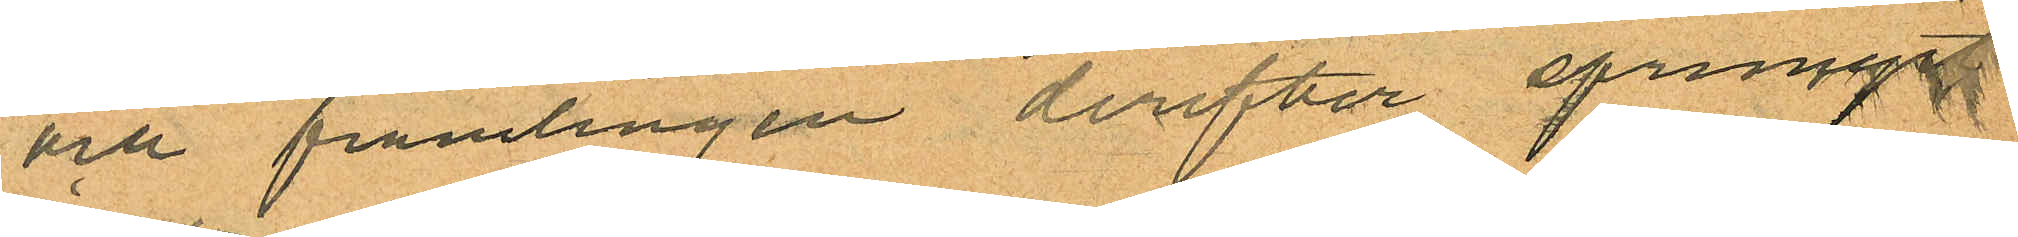och främlingen derefter sprungit
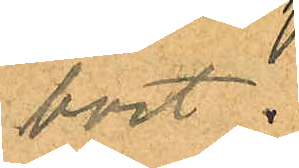bort.
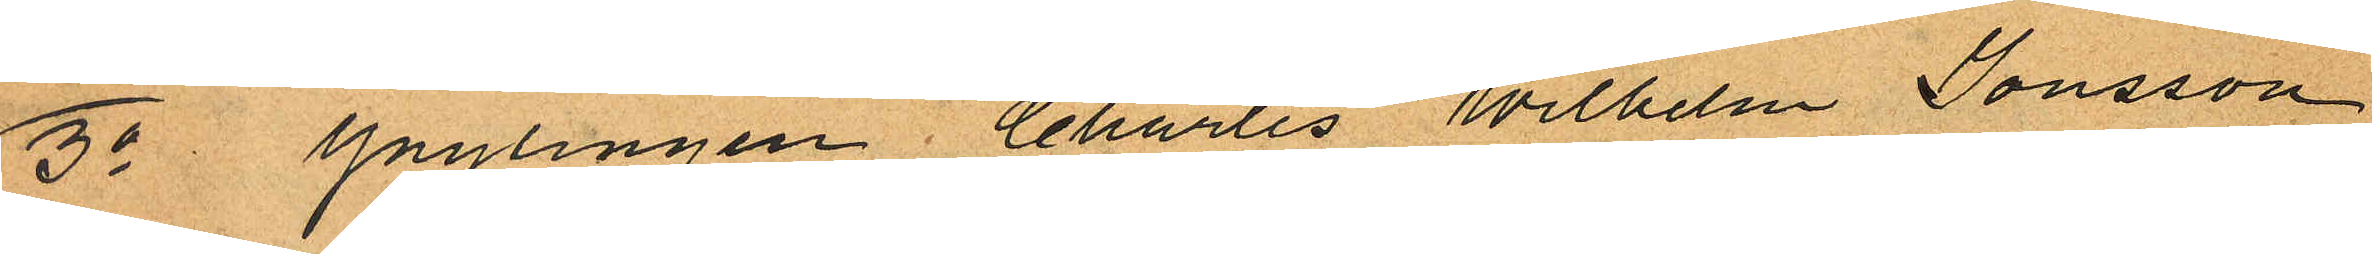3o Ynglingen Charles Wilhelm Jonsson
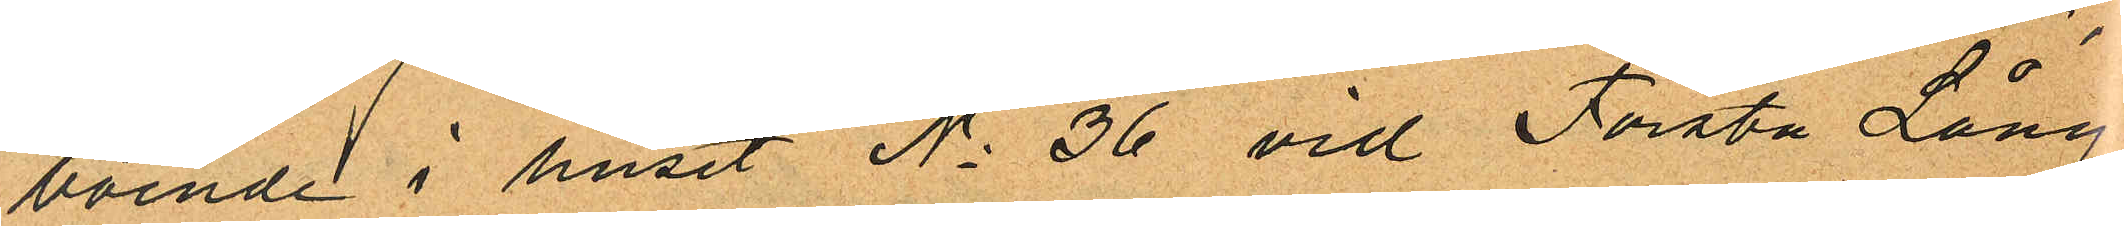boende i huset No 36 vid Första Lång¬
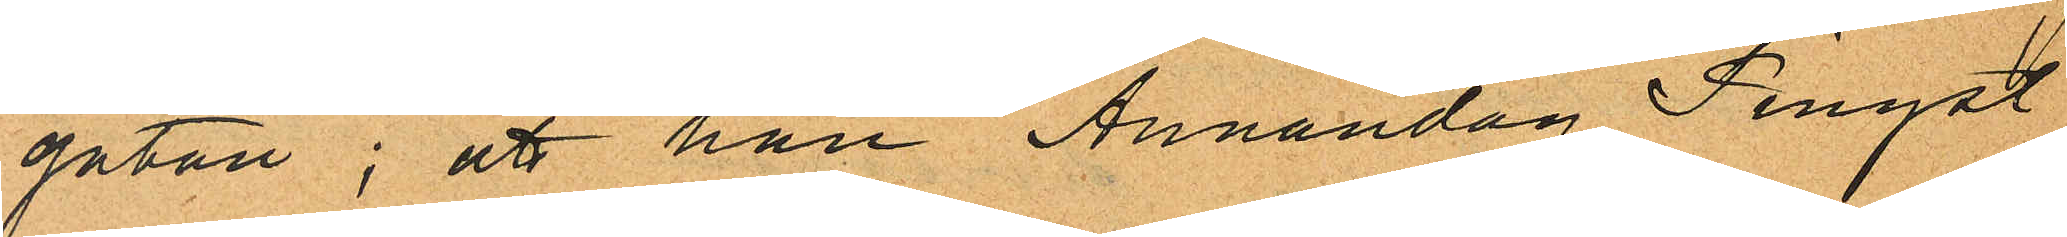gatan; att han Annandag Pingst
